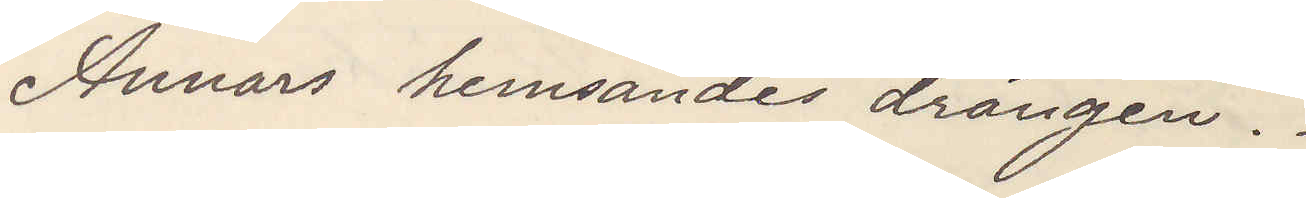Annars hemsändes drängen.
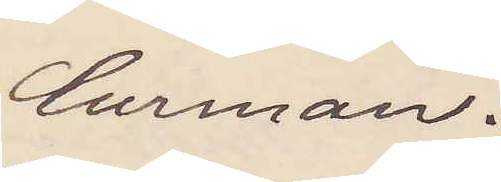Curman.
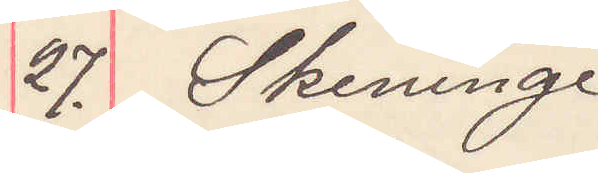27. Skeninge
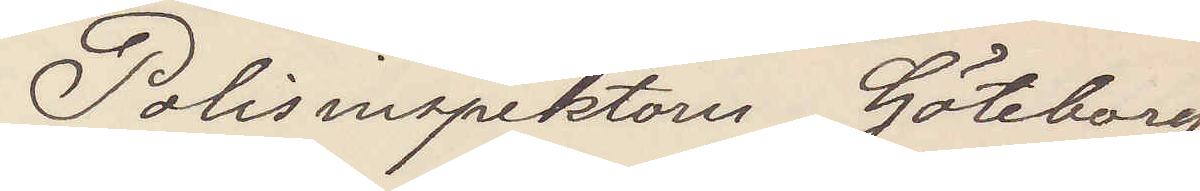Polisinspektorn Göteborg
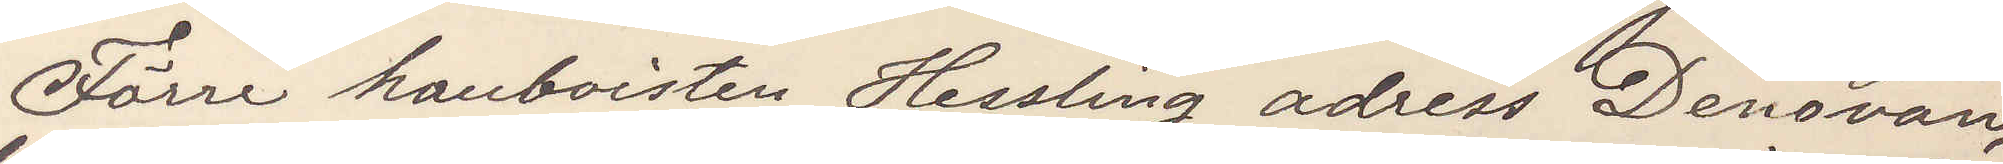Förre Hanboisten Hessling adress Denovan,
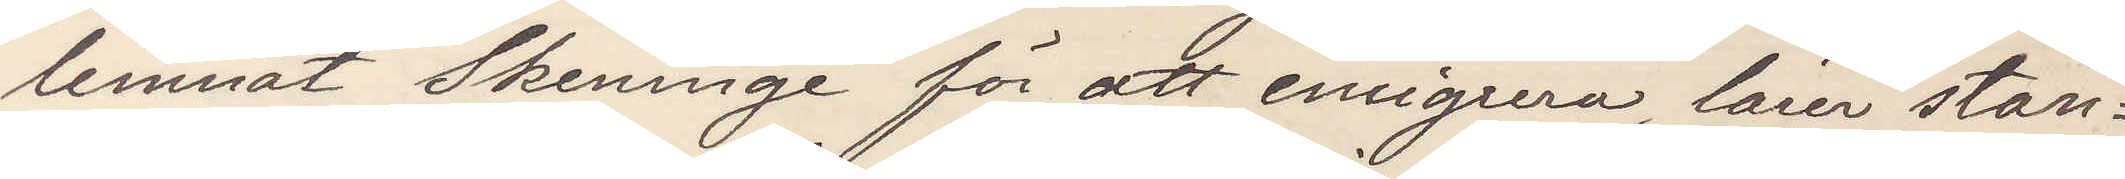lemnat Skeninge för att emigrera, lärer stan¬
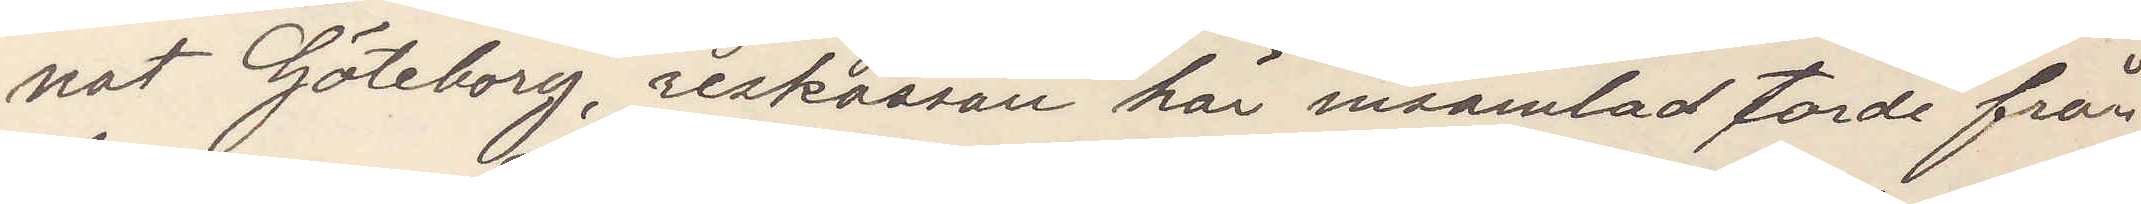nat Göteborg, reskassan här insamlad torde från¬
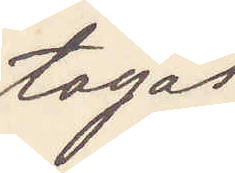tagas.
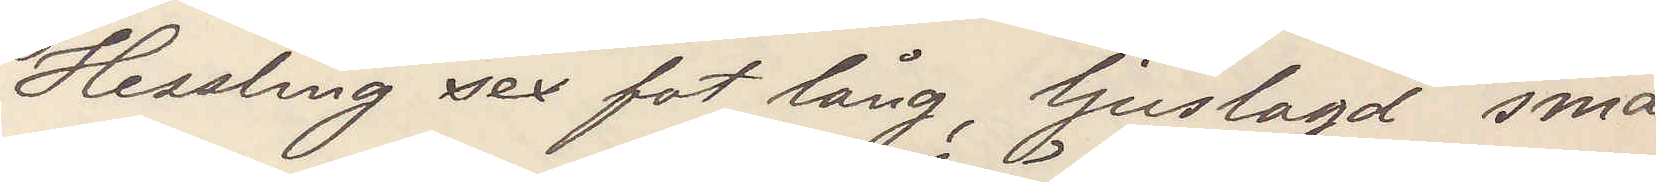Hessling sex fot lång, ljuslagd små
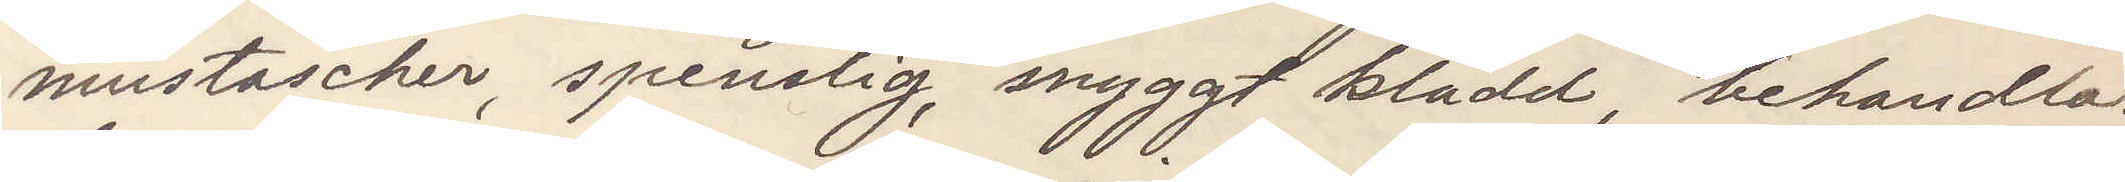mustascher, spenslig, snyggt klädd, behandlas
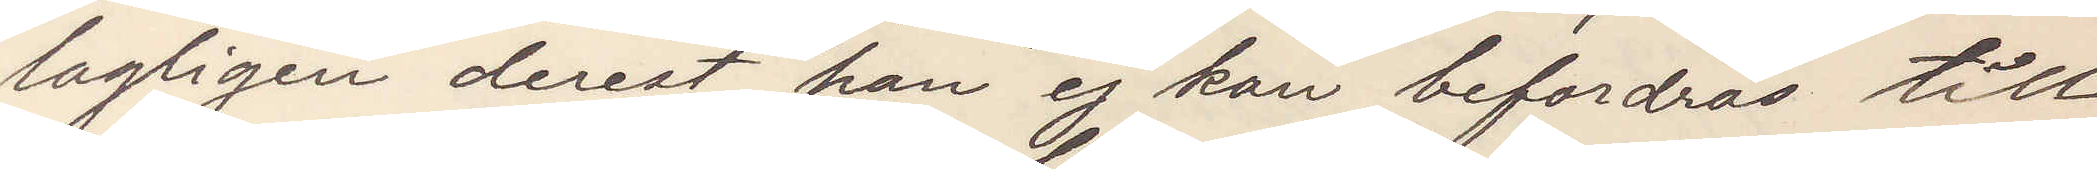lagligen derest han ej kan befordras till
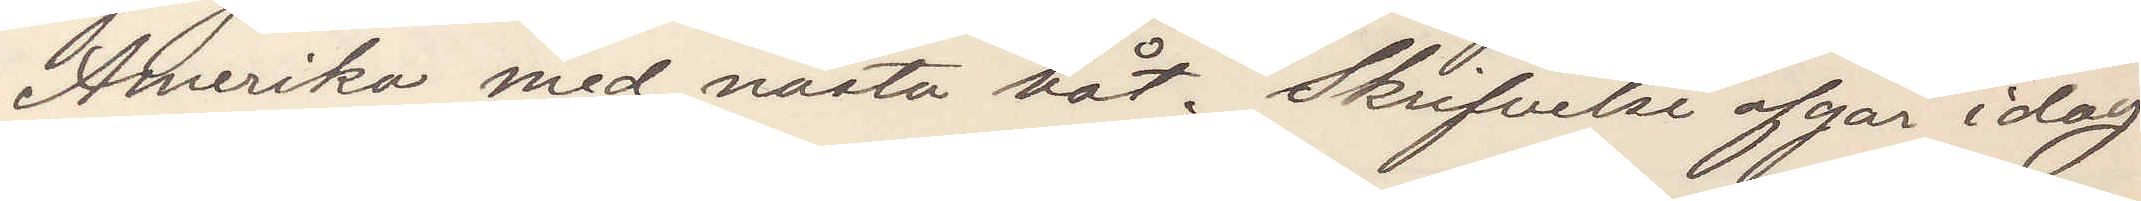Amerika med nästa båt. Skrifvelse afgår idag
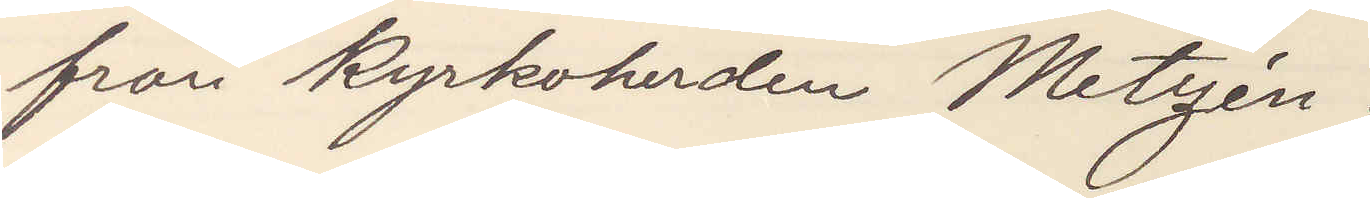från kyrkoherden Metzén.
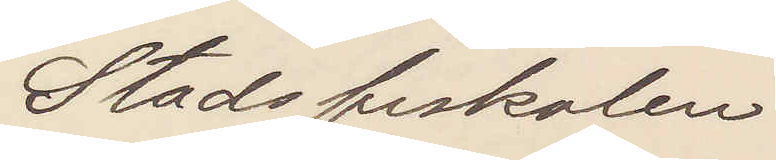Stadsfiskalen
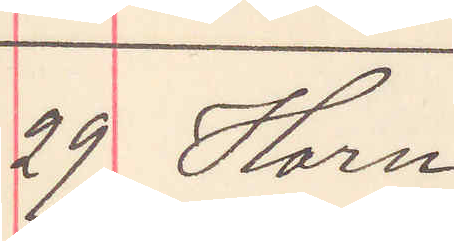29 Horn
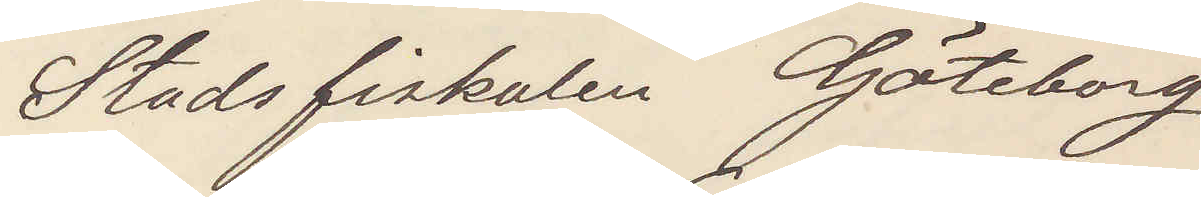Stadsfiskalen Göteborg
